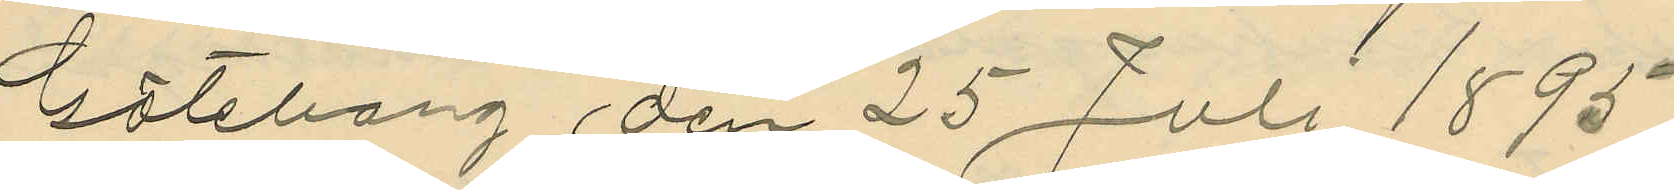Göteborg den 25 Juli 1895.
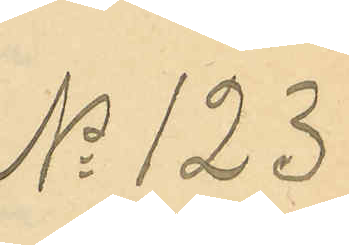No 123
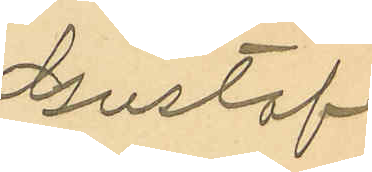Gustaf
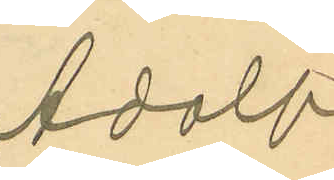Adolf
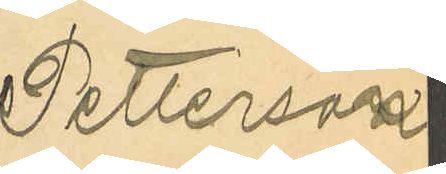Petterson
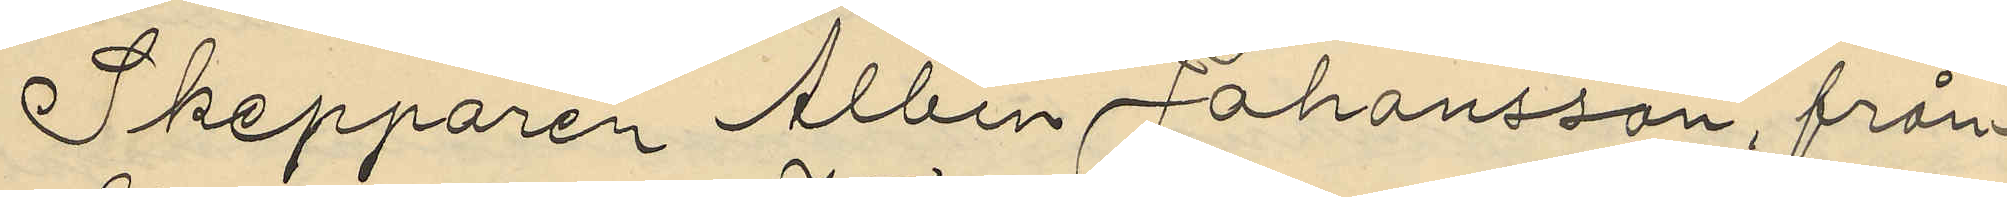Skepparen Albin Johansson, från
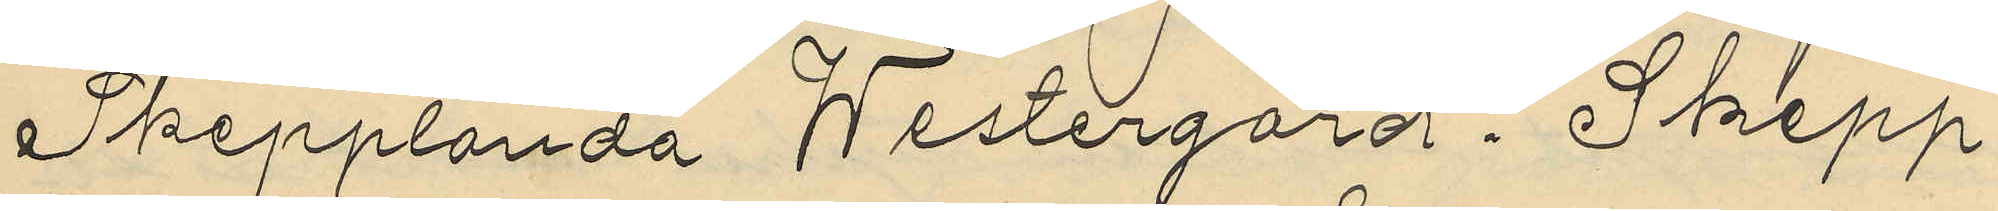Skepplanda Westergård. Skepp¬
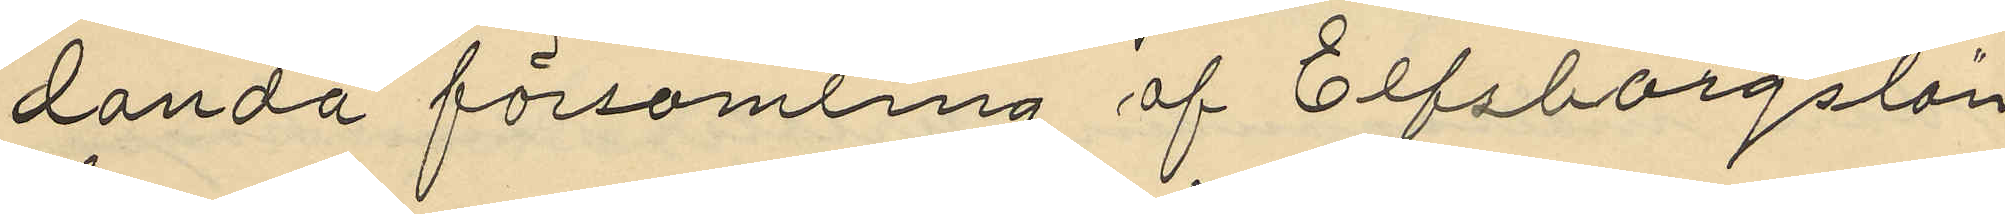landa församling af Elfsborgslän
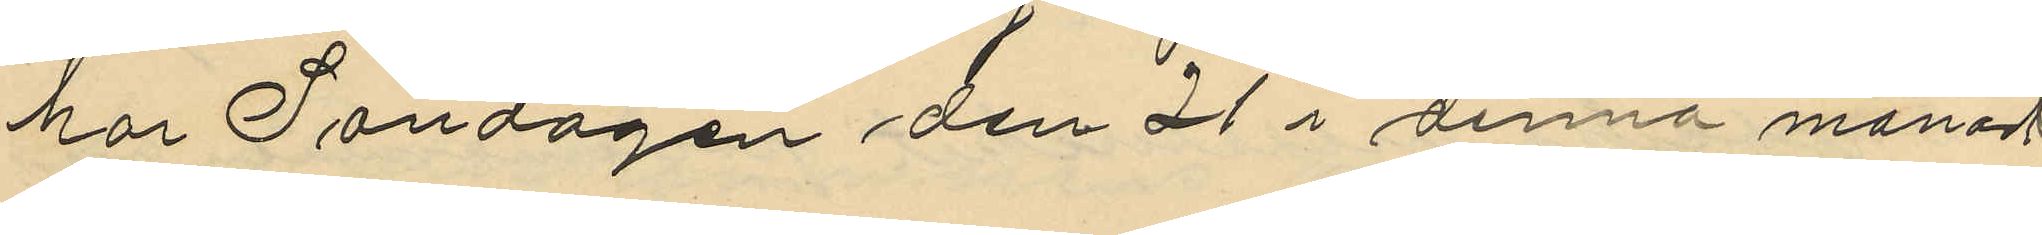har Söndagen den 21 i denna månad
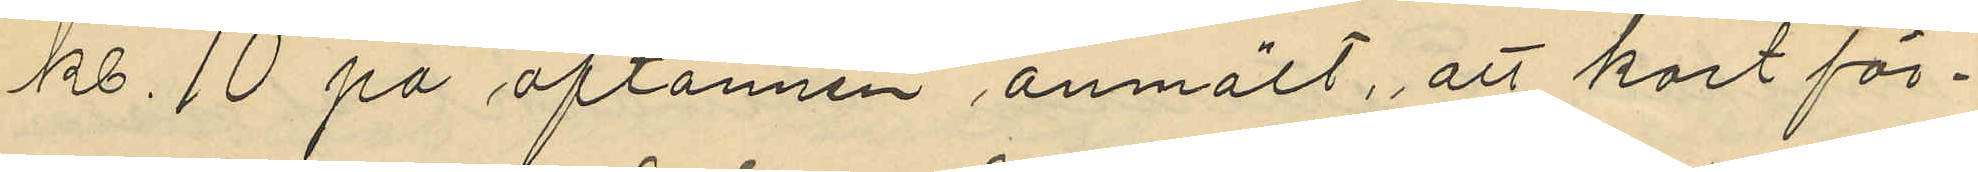kl. 10 på aftonnen anmält, att kort för¬
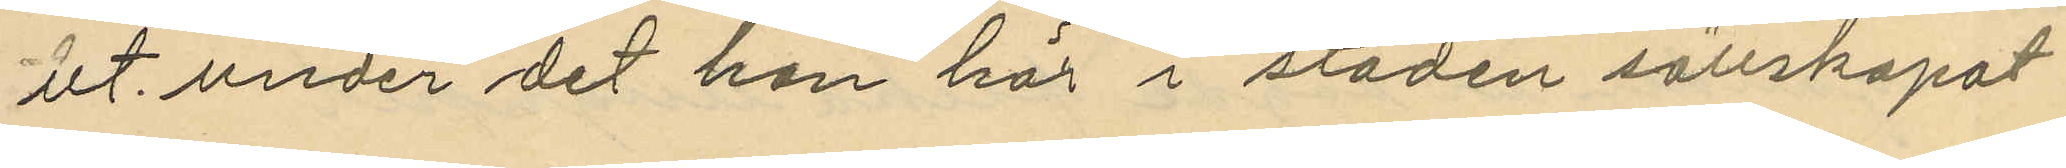ut, under det han här i staden sällskapat
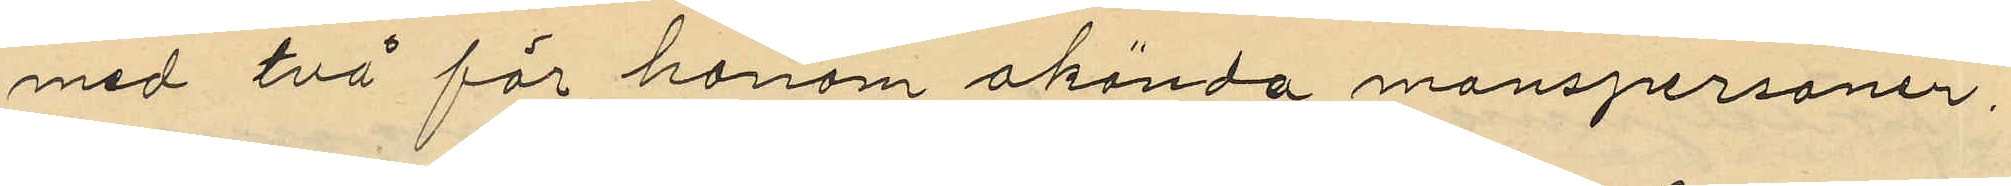med två för honom okända manspersoner,
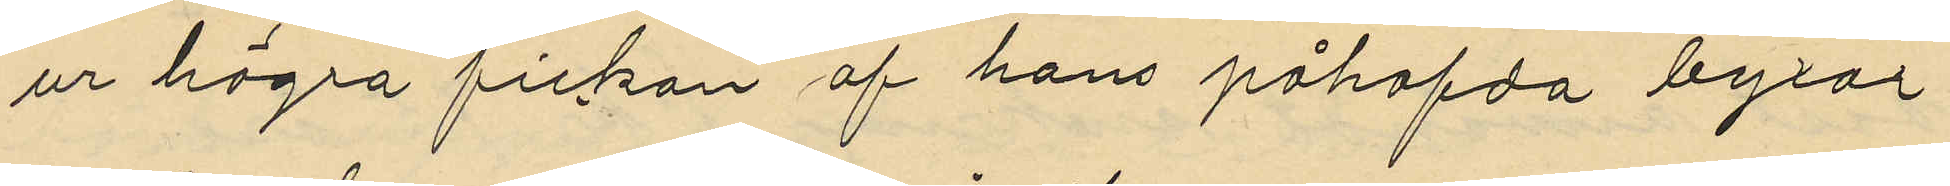ur högra fickan af hans påhafda byxor
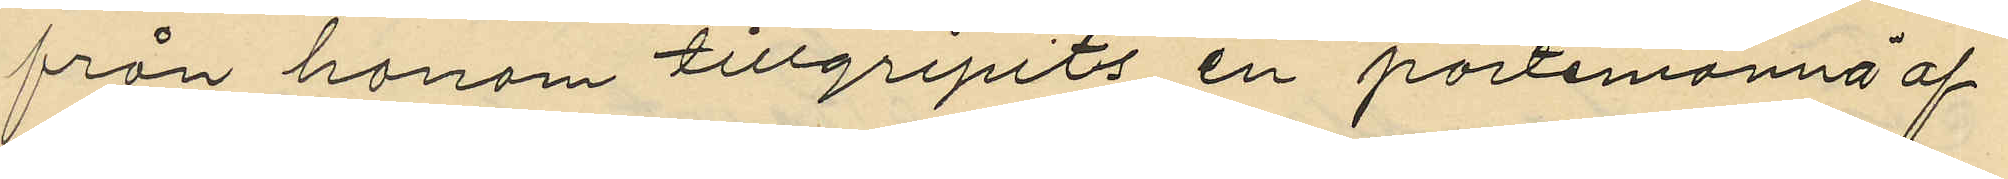från honom tillgripits en portemonnä af
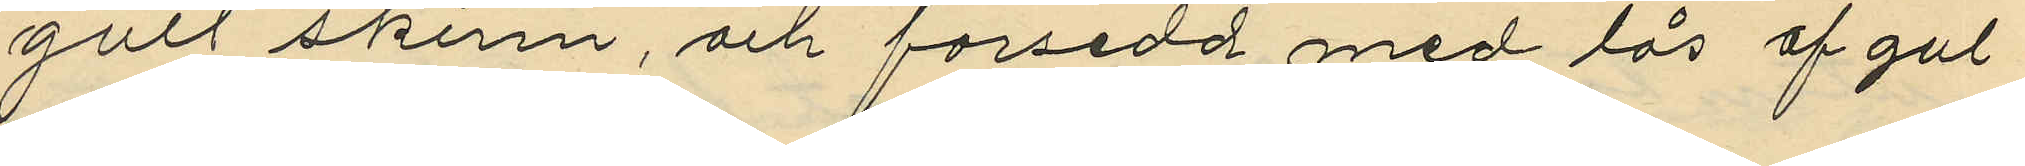gult skinn, och försedd med lås af gul
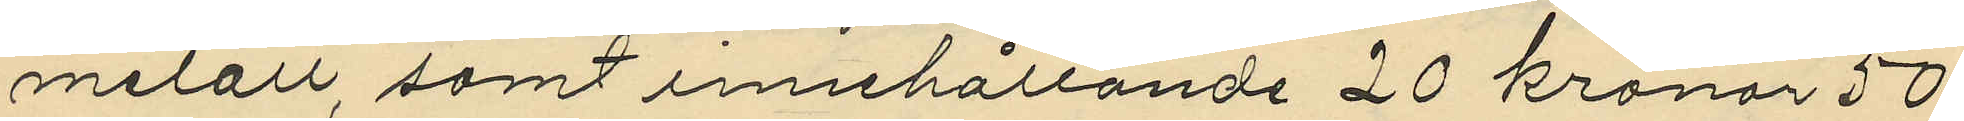metall, samt innehållande 20 kronor 50
